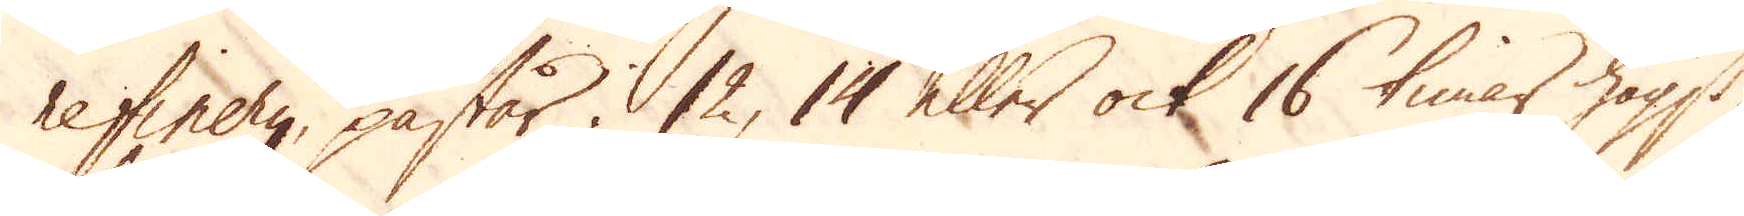refinery, påstår i 12, 14 eller ock 16 timar högst,
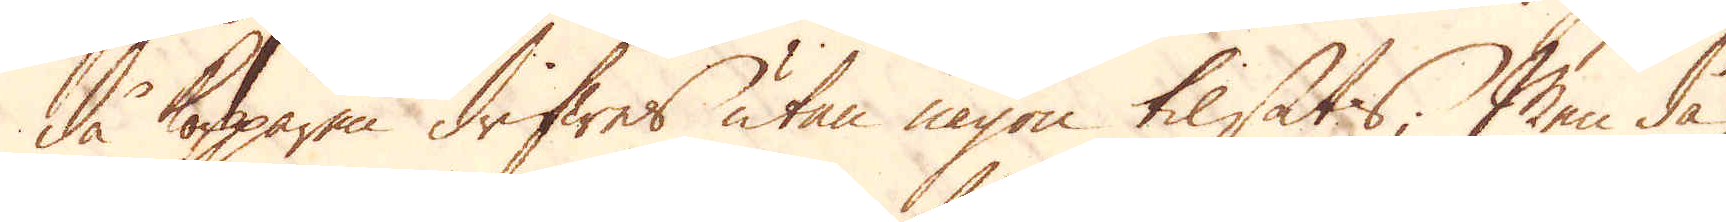då kopparen drifwes utan någon tilsats; Men då
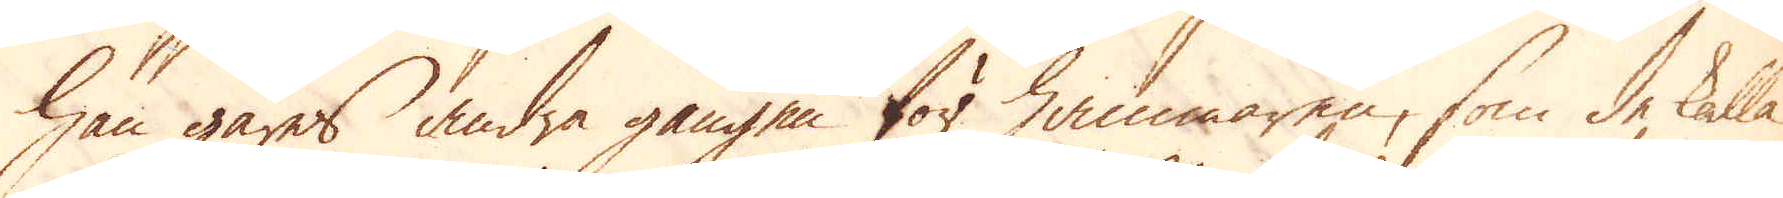han gåres andra gången för hammaren, som de kalla
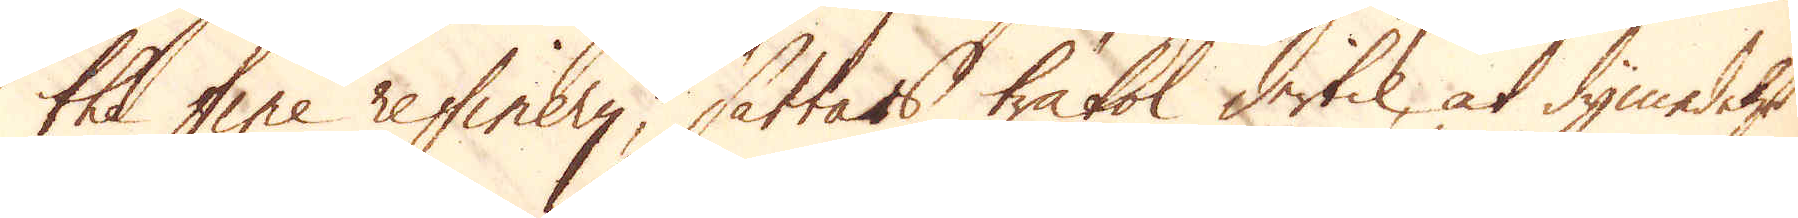the fine refinery, sättas träkol dertil, at dymedelst
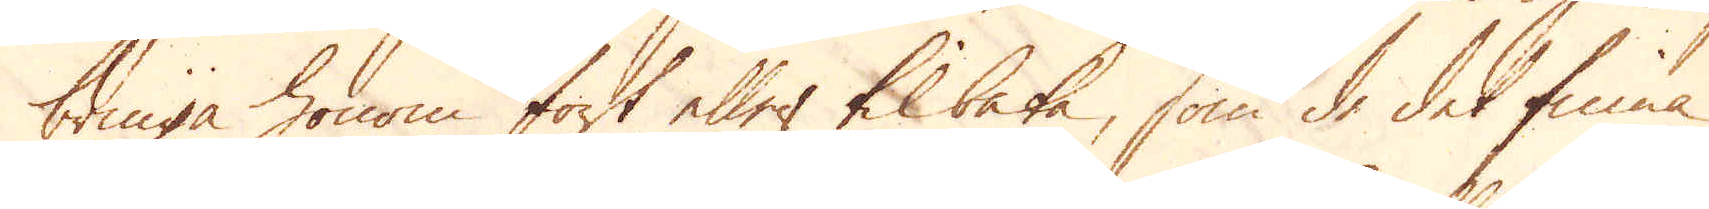bringa honom fort eller tilbaka, som de det finna
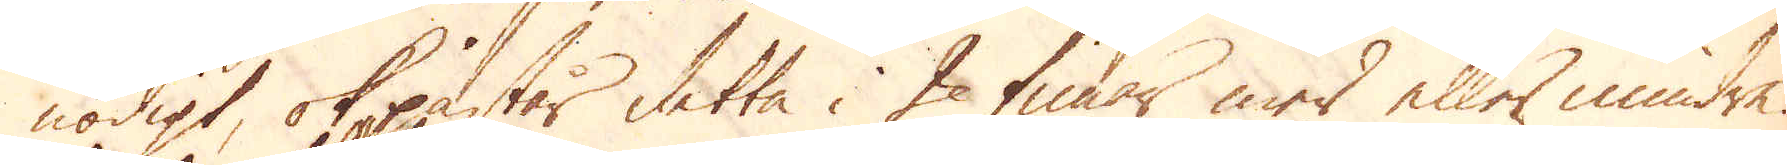nödigt, ok påstår detta i 2 timar mer eller mindre.
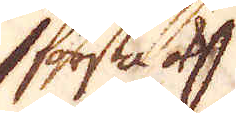första ok
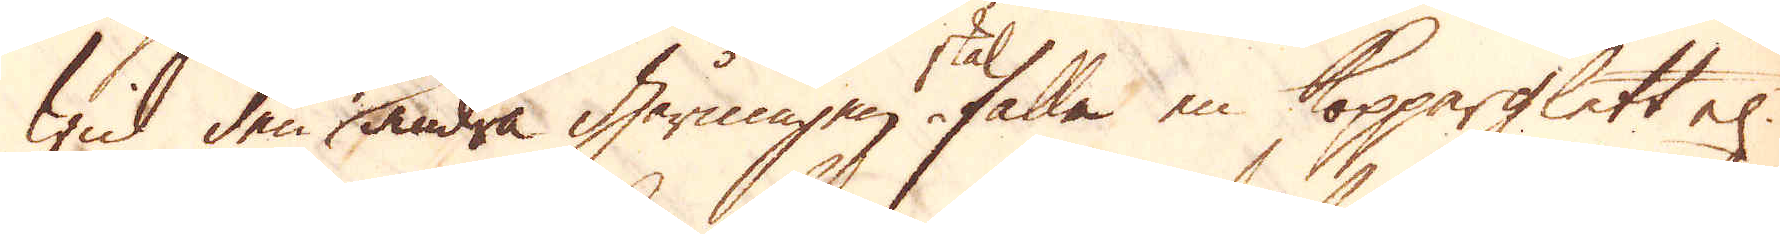wid den andra gårningen falla en Kopparglett el:
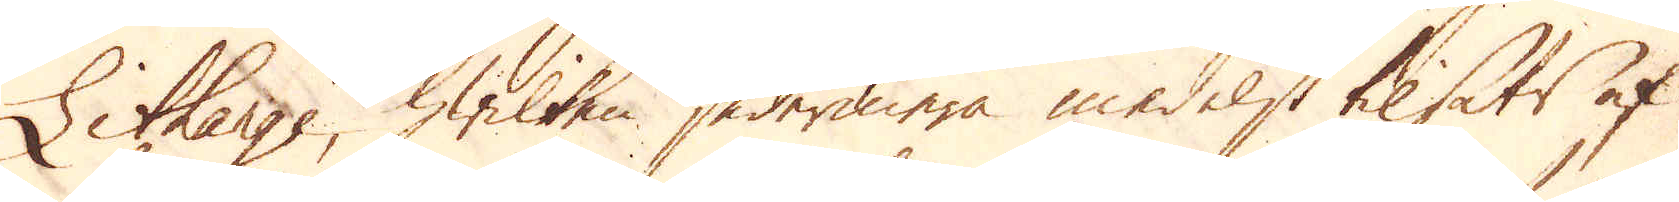Litharge, hwilken sedermera medelst tilsats af
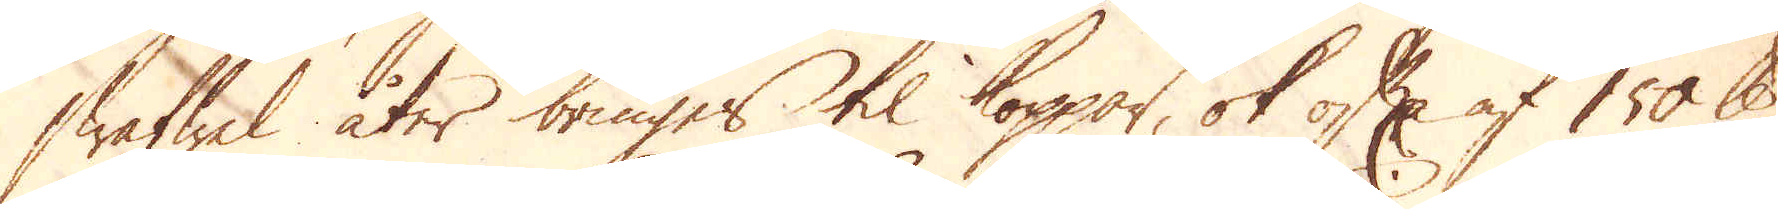swafwel åter bringes til koppar, ok ofta af 150 skålpund
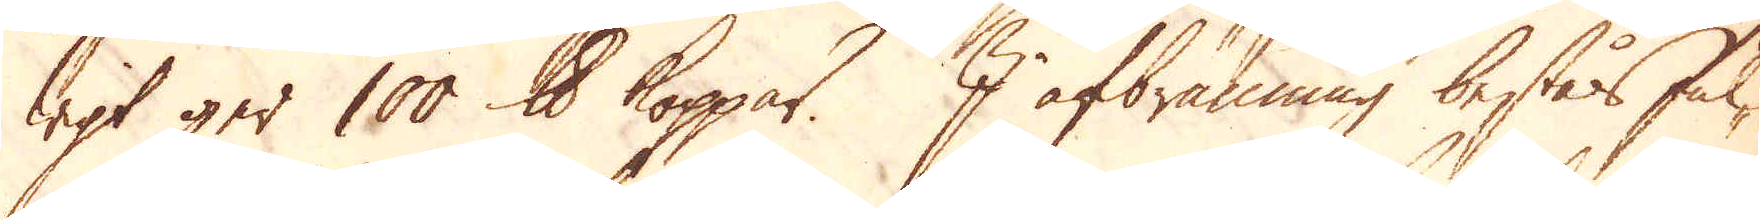wigt ger 100 skålpund koppar. I afbränning bestås ful-
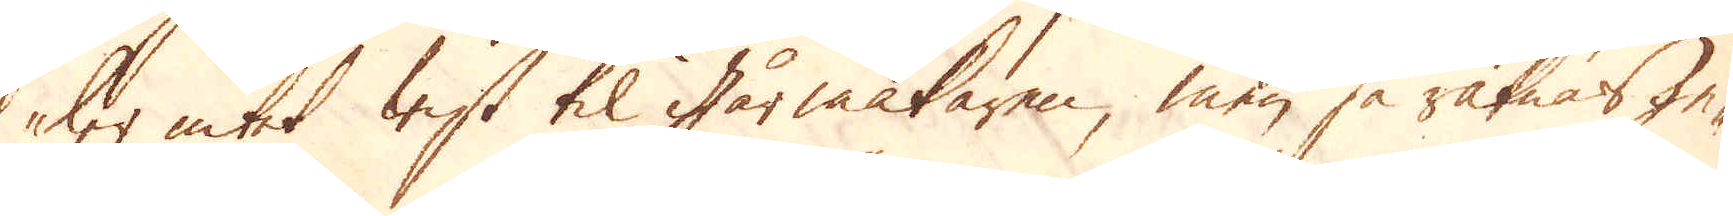ler intet wist til gårmakaren, men så räknas ge-
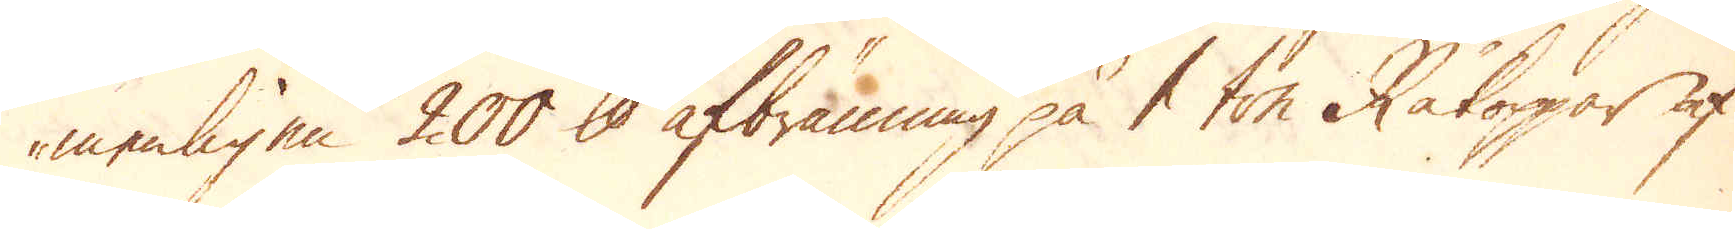menligen 200 skålpund afbränning på 1 ton Råkoppar af
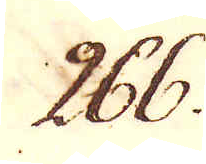266.
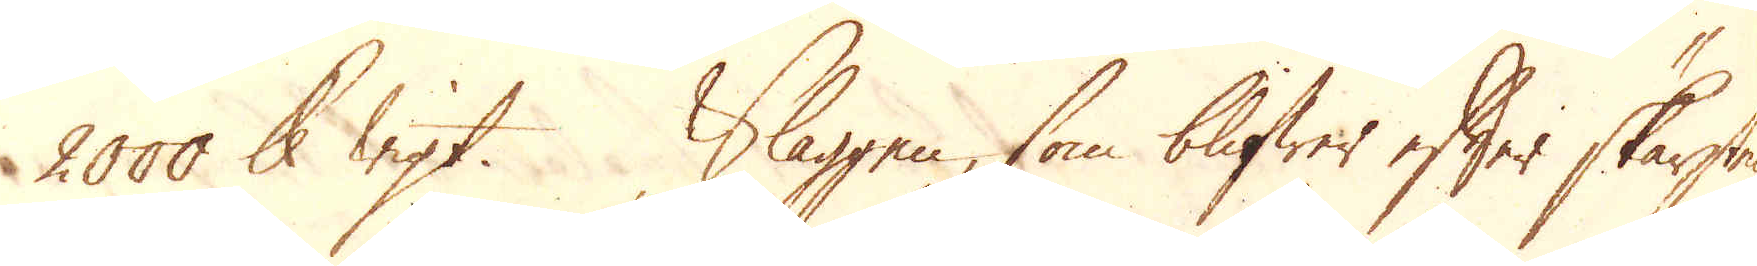2000 skålpunds wigt. Slaggen, som blifwer efter skärstens-
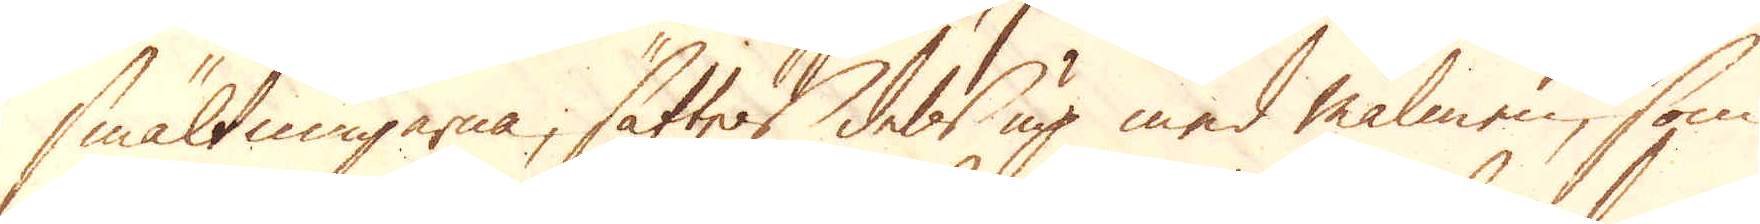smältningarne, sättes dels up med malmen, som
